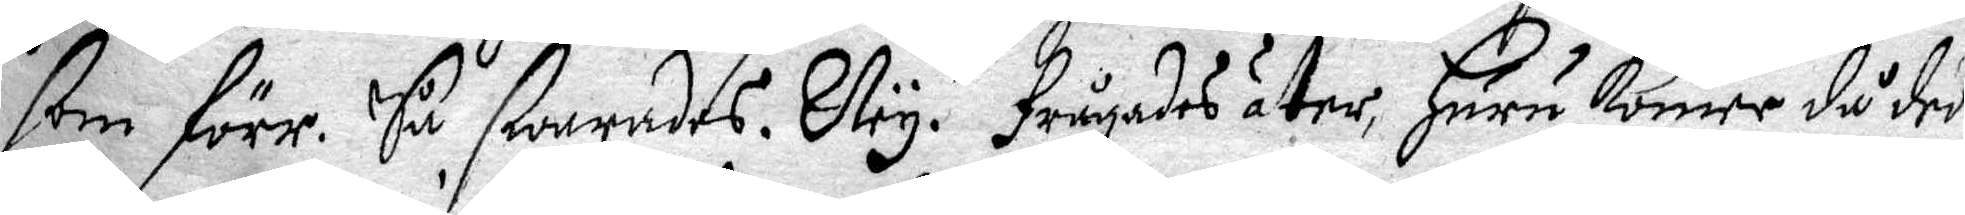som förr. Så swarades. Ney. frågades åter, Huru komer då det
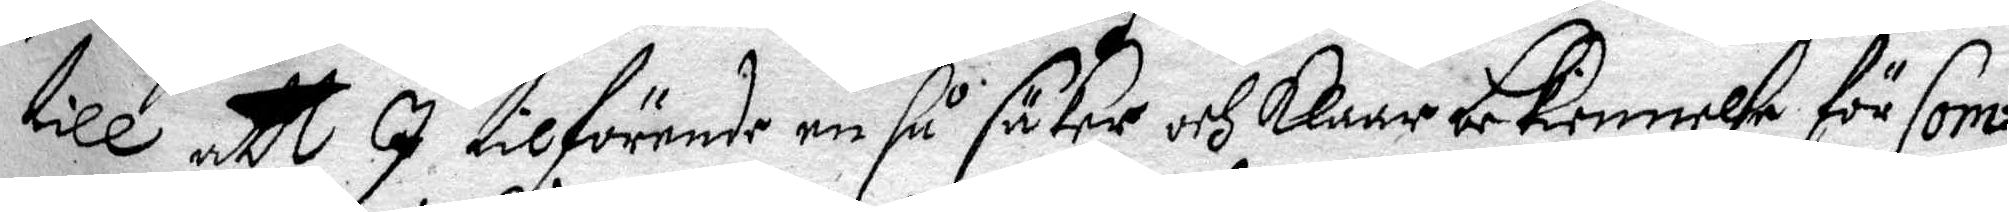till att I tilförende en så säker och klaar bekiennelße för Com¬
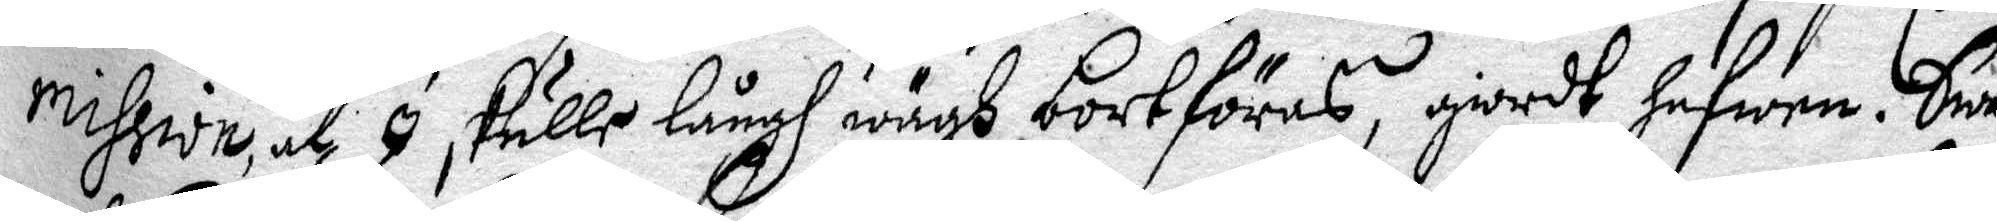mission. at I skulle långh wägh bortföras, giodt hafwen. Swa¬
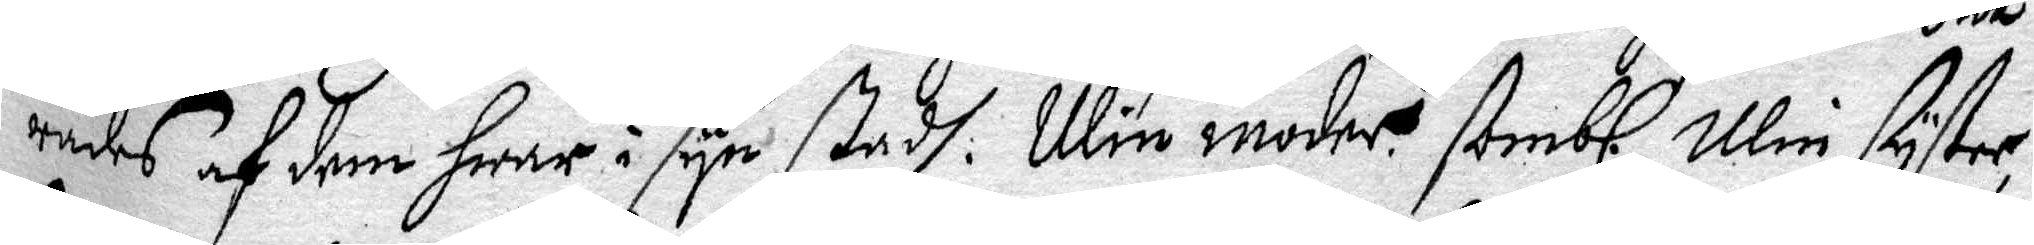rades af dem Hwar i syn stadh. Min moder. Sombl. Min syster,
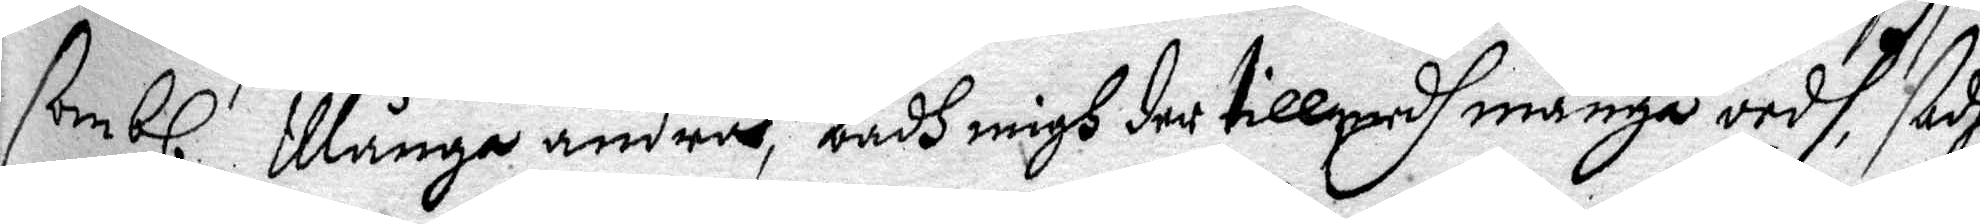sombl. Månge andres, badh migh der tillmedh många ordh, sadhe
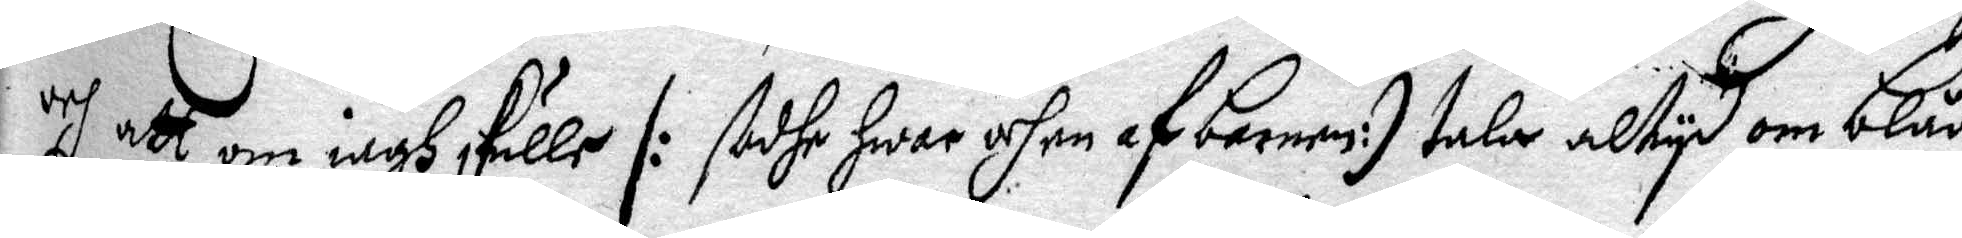och att om iagh skulle /: sadhe Hwar och en af Barnen :/ tala altyd om blåå¬
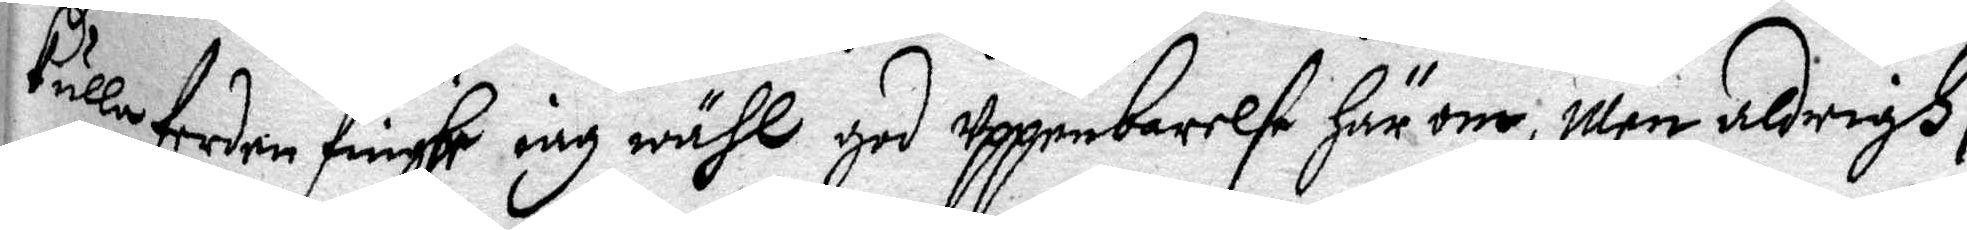kulla ferden finghe iag wähl god uppenbarelse Här om, Men aldrigh /:
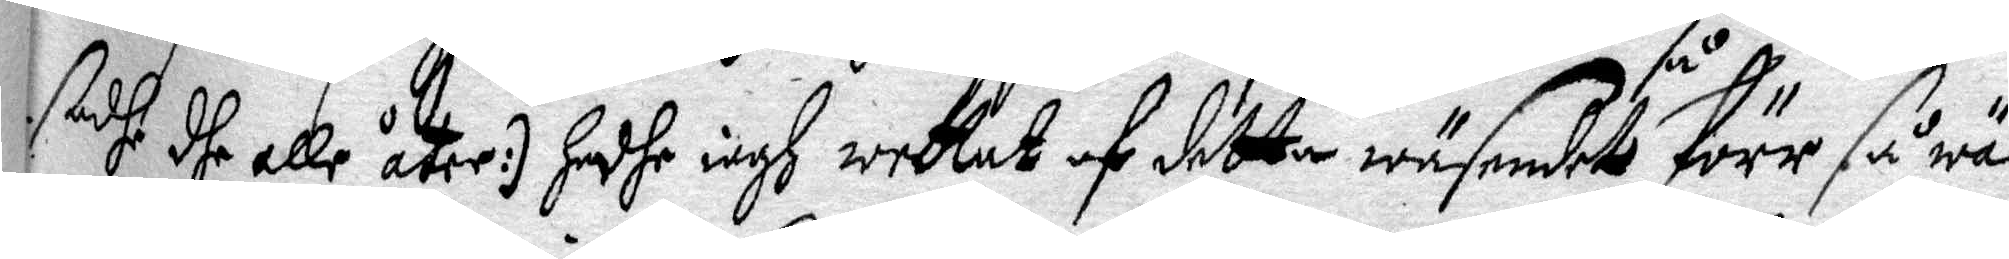sadhe dhe alle åter :/ Hadhe iagh wettat af dette wäsendet så förr så wäl
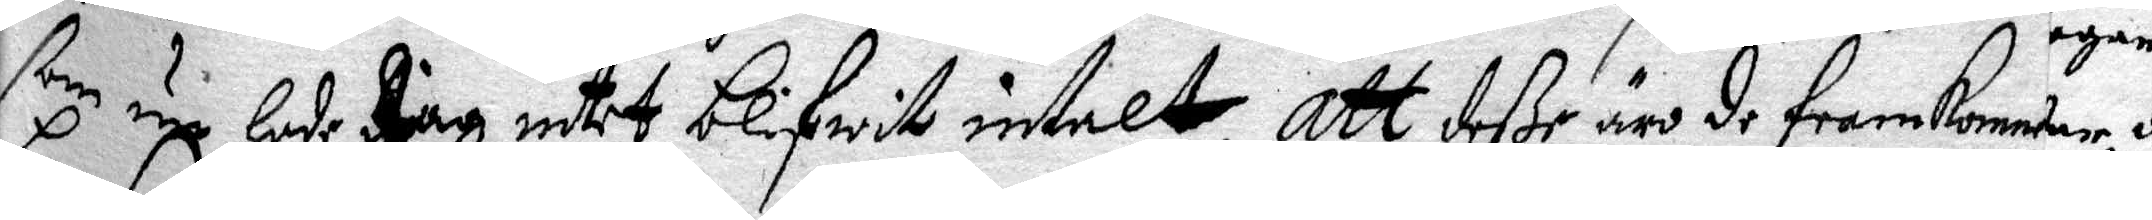som nu Hade Jag intet blifwit intalt. Att deße äro de framkomme
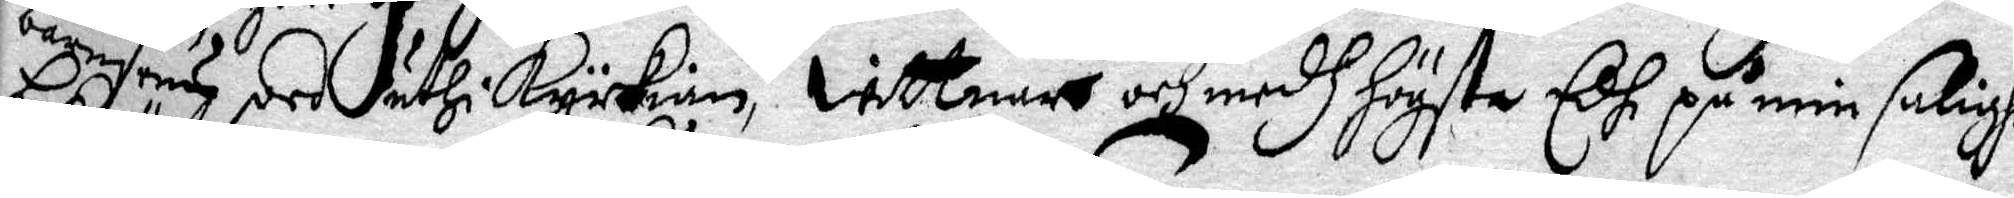barnsäng ord uthi kyrkian, wittnar och edh Högsta Edh på min salighet
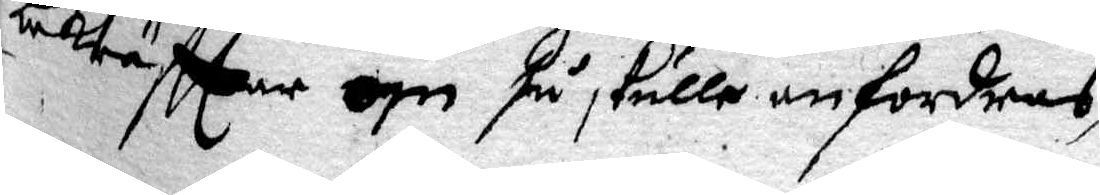bekräfttar om så skulle anfordras.
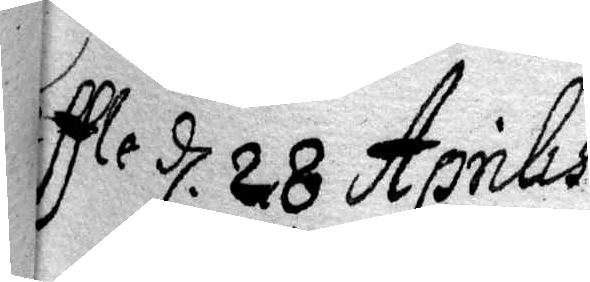Geffle d. 28 Aprilis
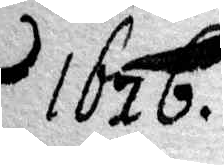1676.
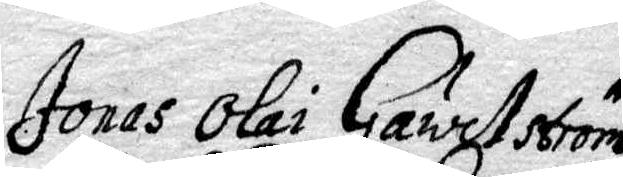Jonas Olai Gawelström
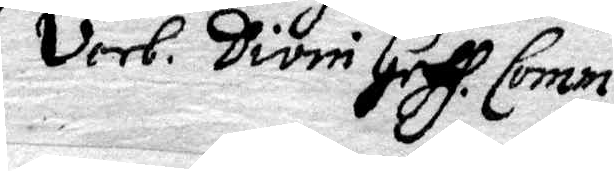Verb. Divin Geff. Comm.
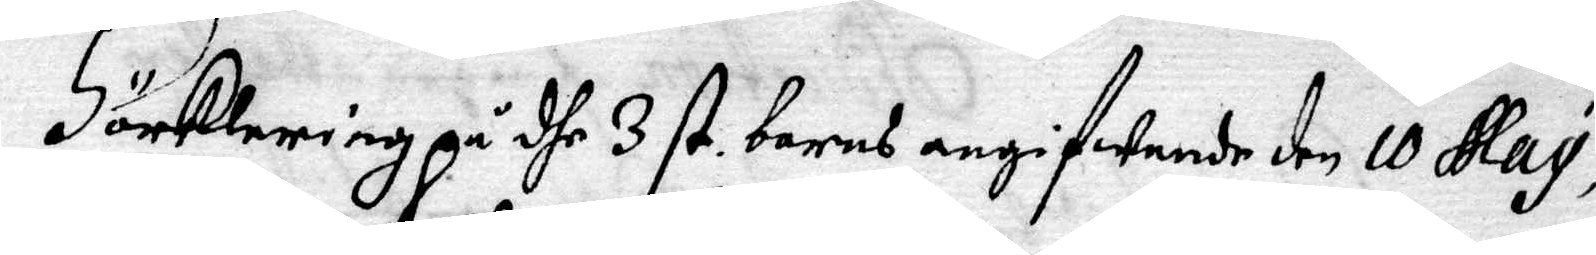Förklaring på dhe 3 st. barns angifwande den 10 May,
